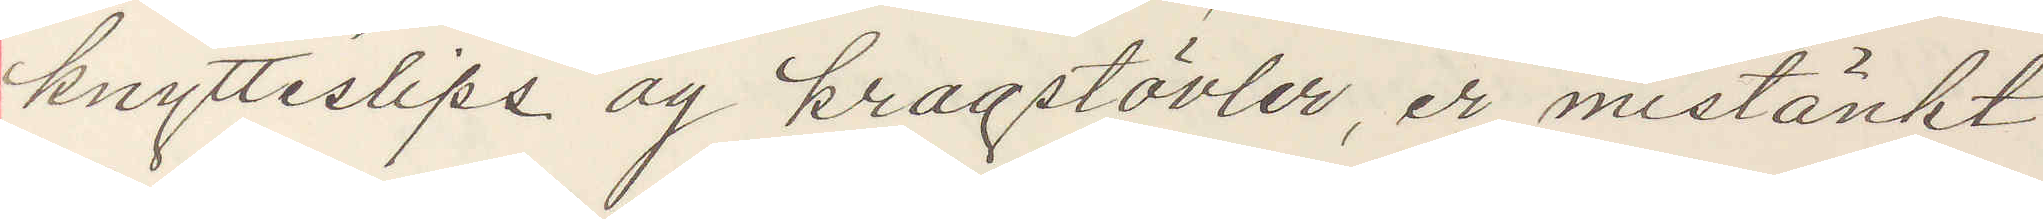knytteslips og kragstövler, er mistänkt
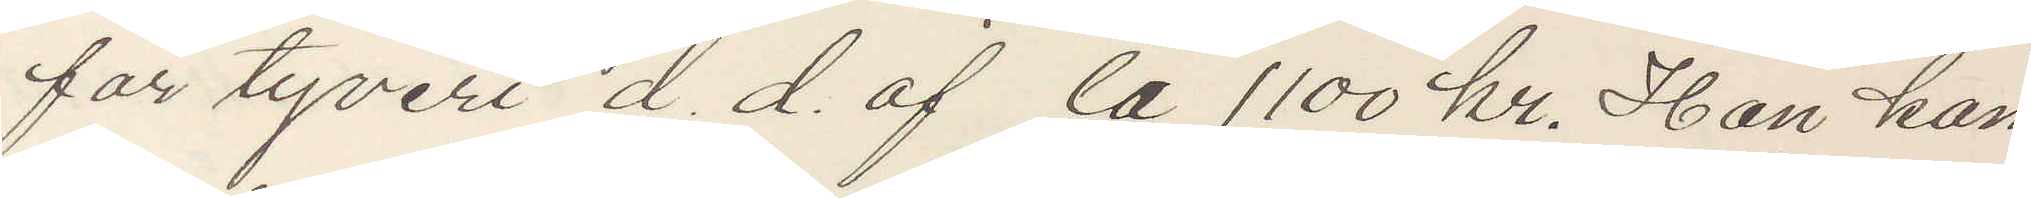for tyveri d. d. af ca 1100 kr. Han kan
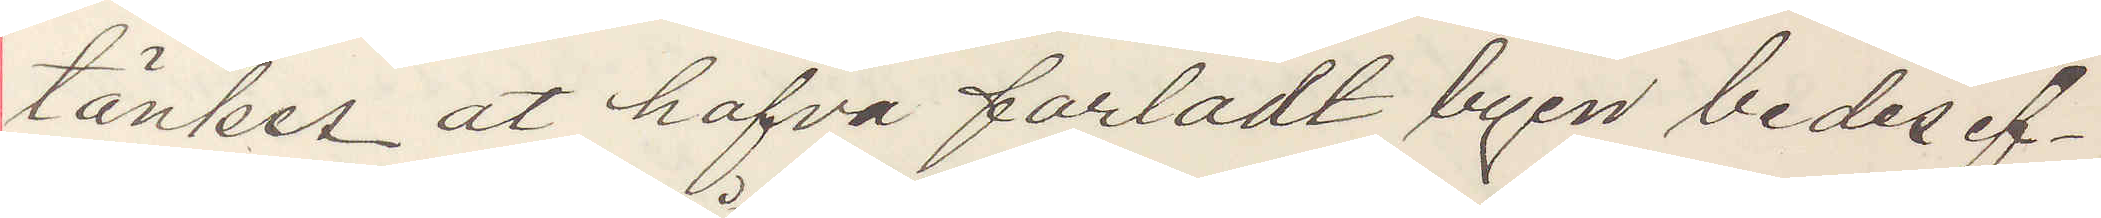tänkes at hafva forladt byen bedes af¬
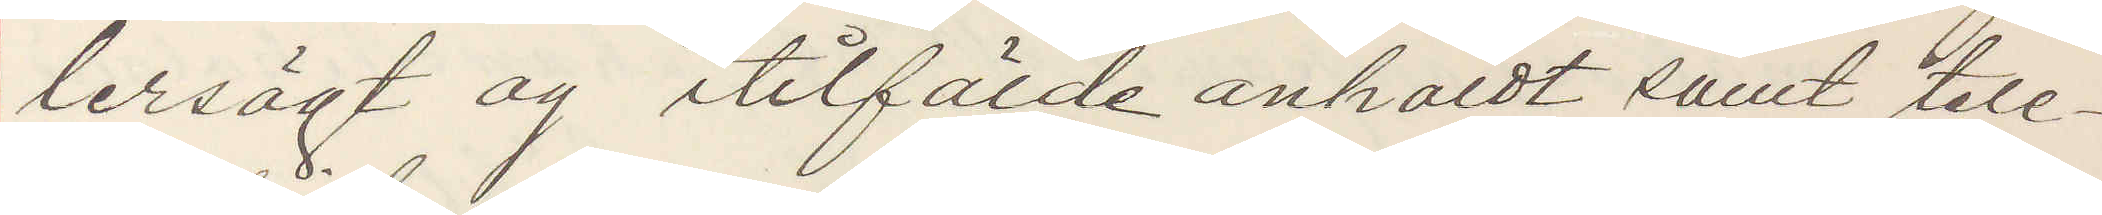tersögt og i tilfälde anholdt samt tele¬
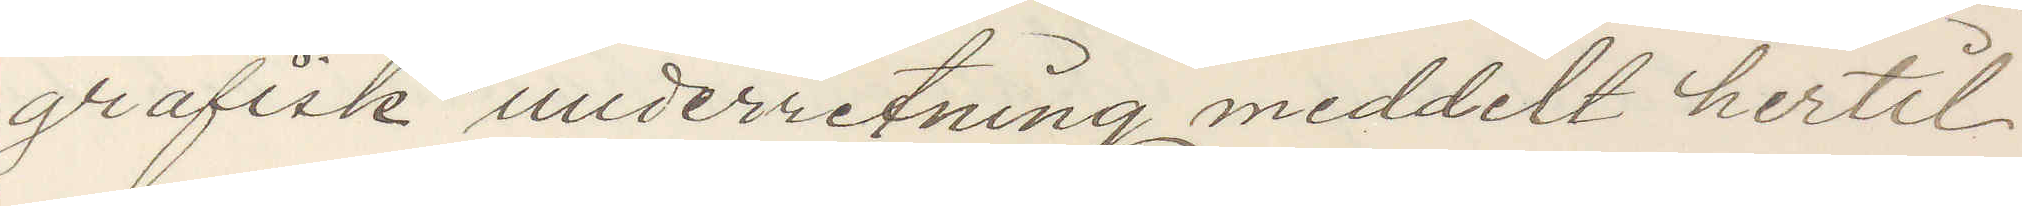grafisk underretning meddelt hertil
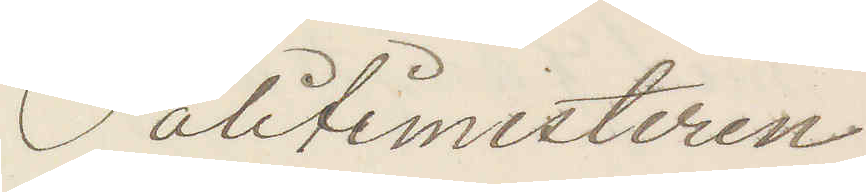Politimesteren
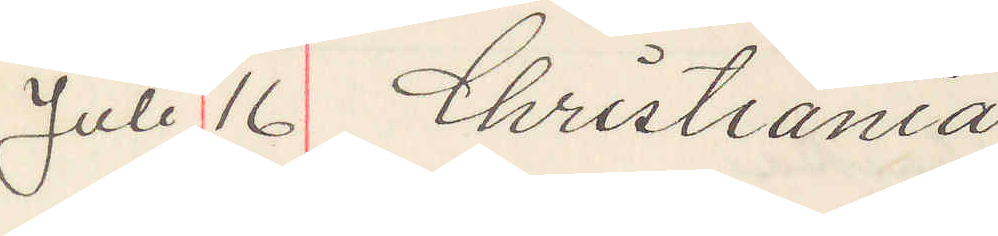Juli 16 Christiania 
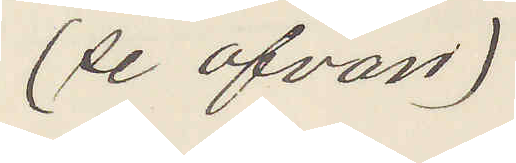(se ofvan)
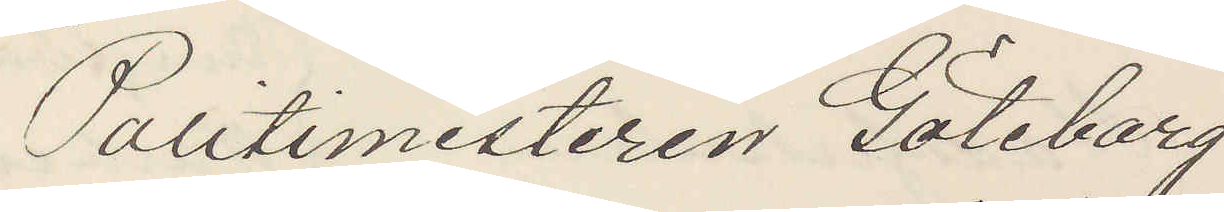Politimesteren Göteborg
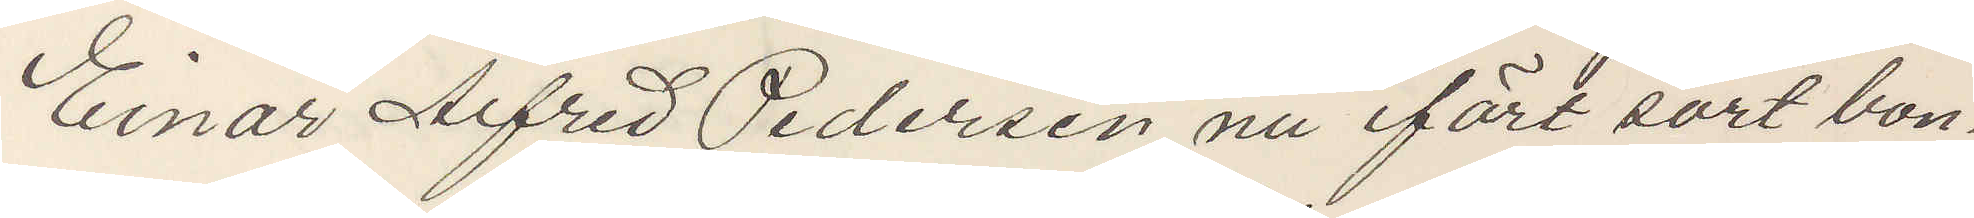Einar Alfred Pedersen nu ifört sort bon¬
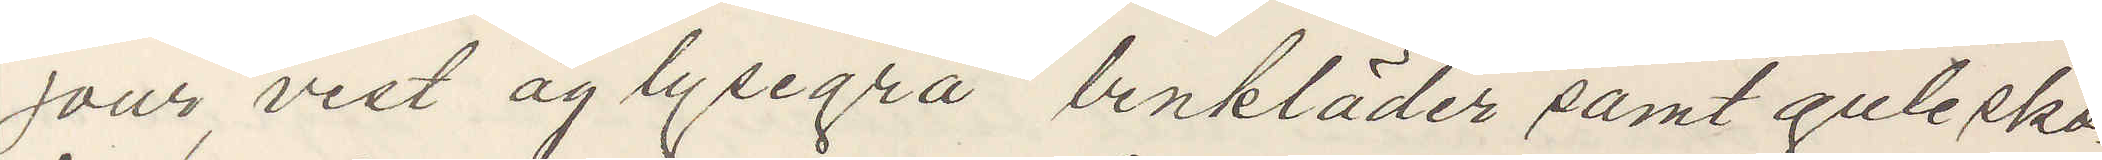jour, vest og lysegrå benkläder samt gule sko.
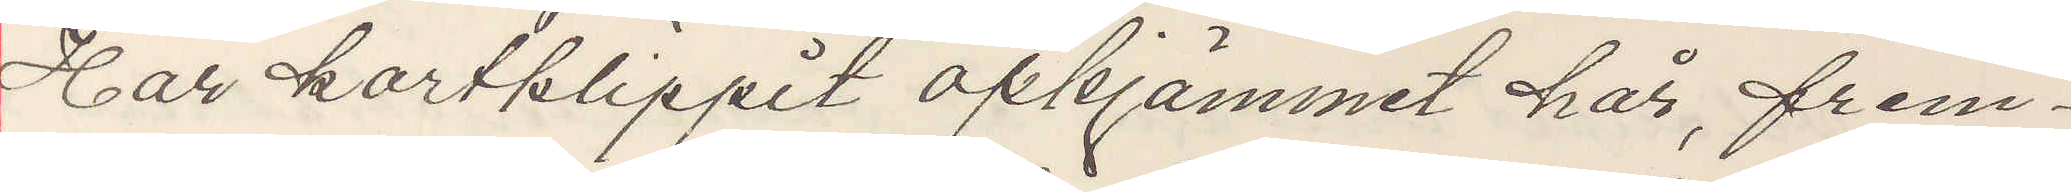Har kortklippt opkjämmet hår, frem¬
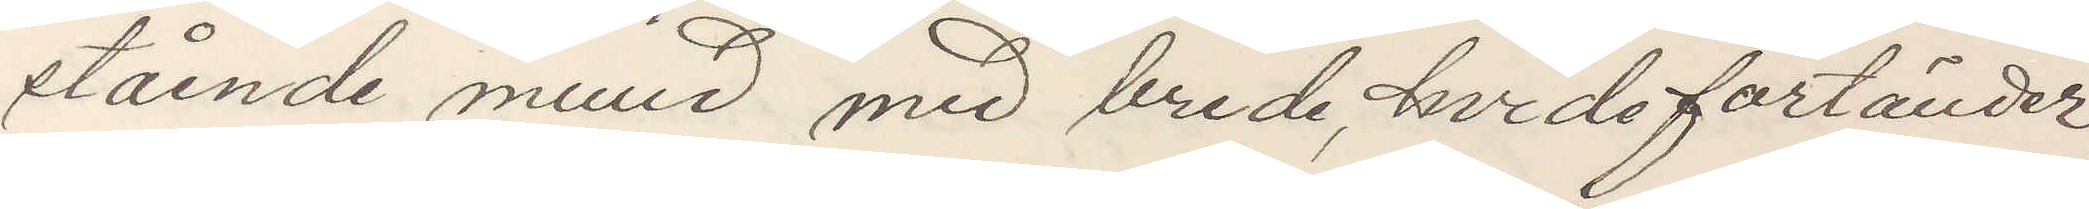stående mund med brede, hvide fortänder,
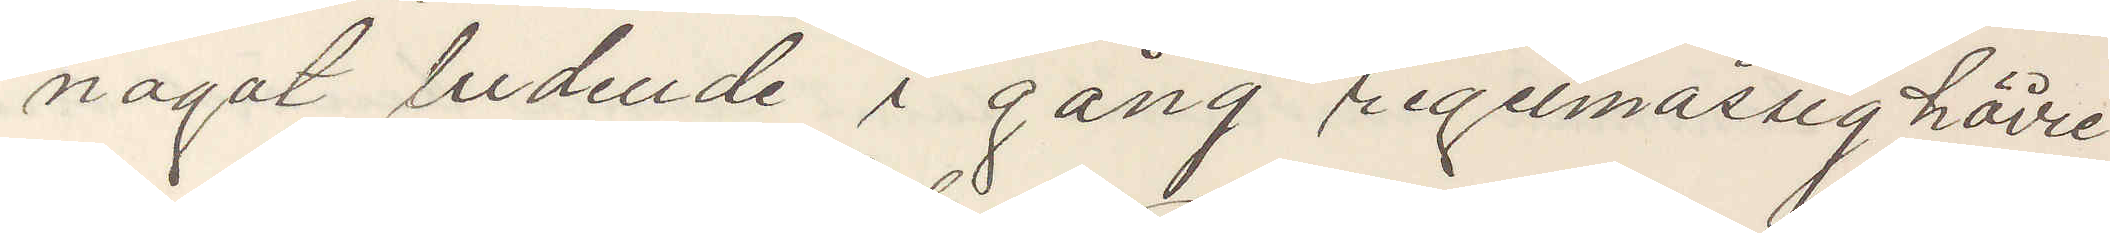nagot ludende i gång regelmässig höire
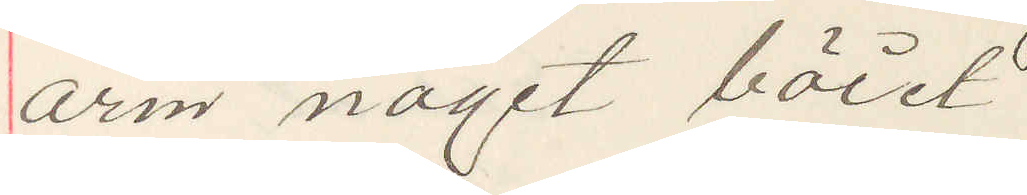arm nagot böid.
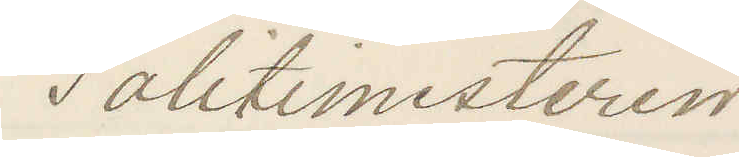Politimesteren
